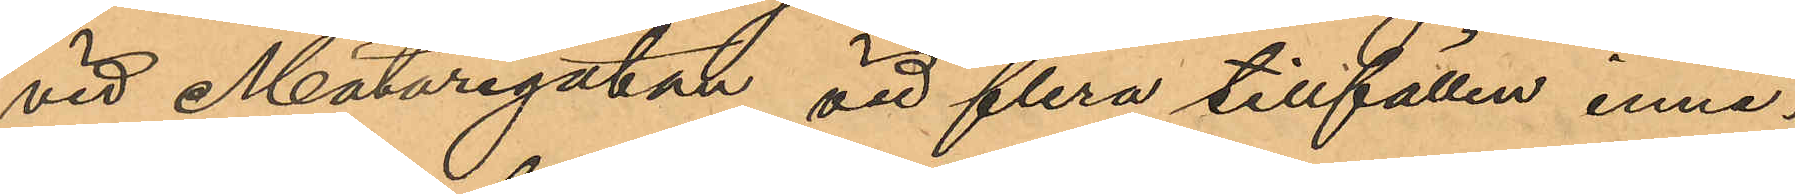vid Mätaregatan vid flera tillfällen inne¬
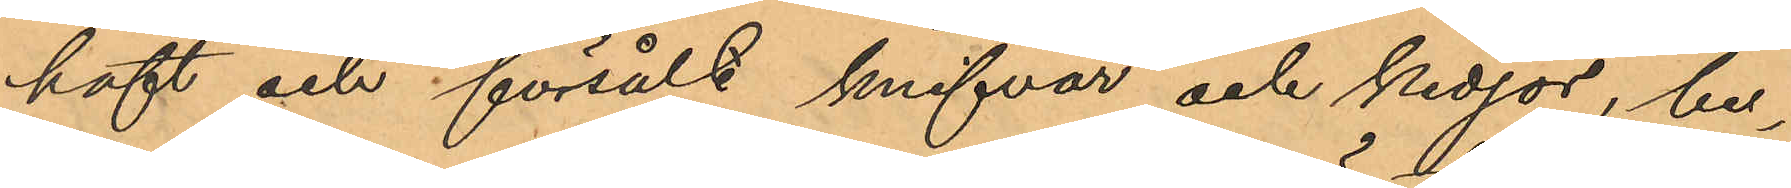haft och försålt knifvar och kedjor, be¬
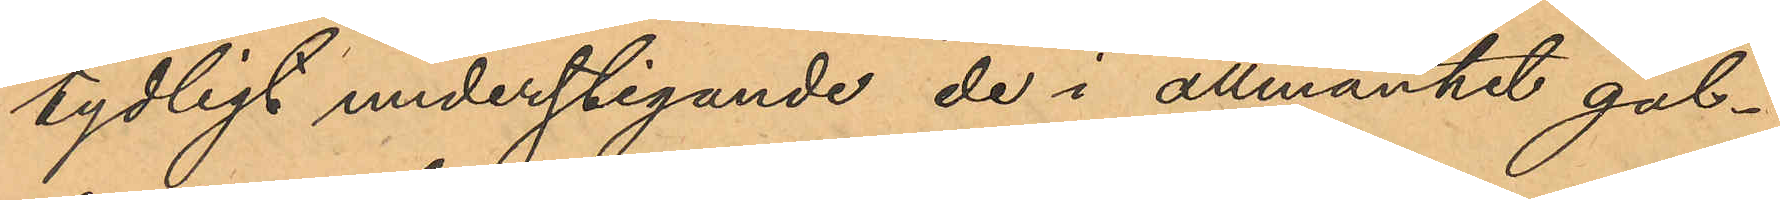tydligt understigande de i allmänhet gäl¬
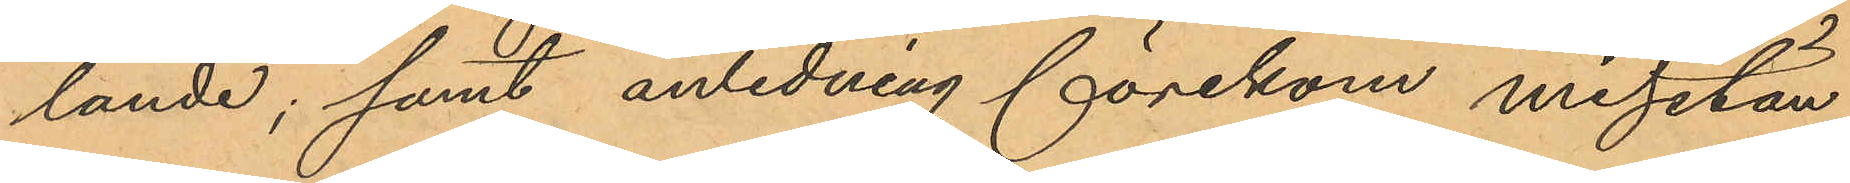lande; samt anledning förekom misstän¬
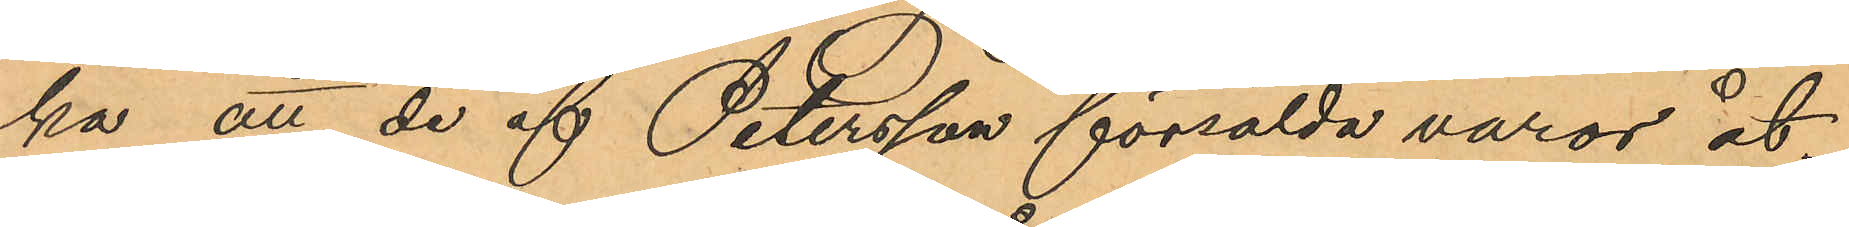ka att de af Petersson försålda varor åt¬
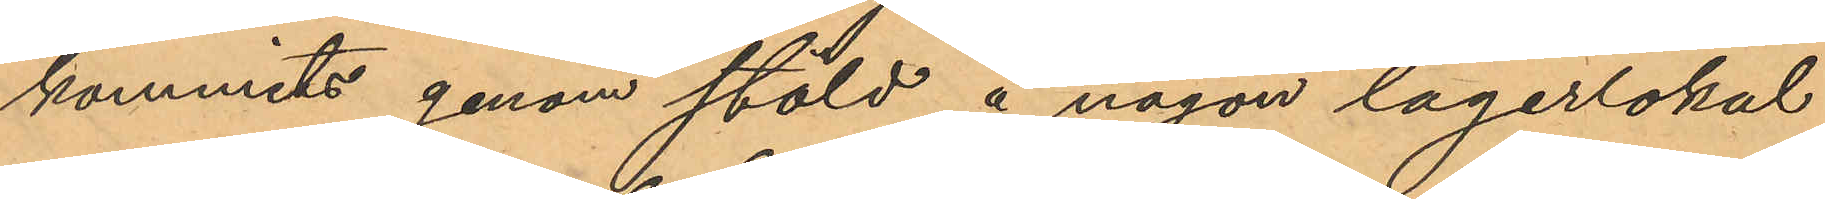kommits genom stöld å någon lagerlokal
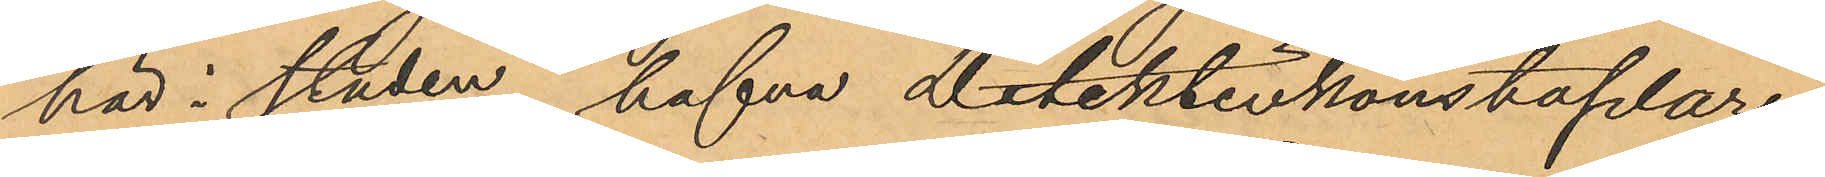här i staden, hafva detektivkonstaplar¬
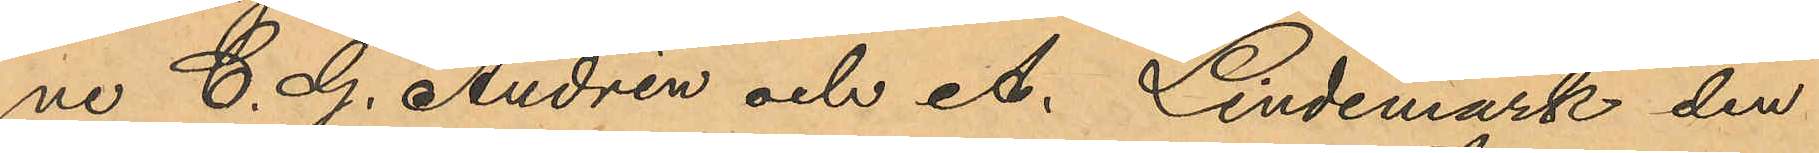ne C. G. Andrén och A. Lindemark den
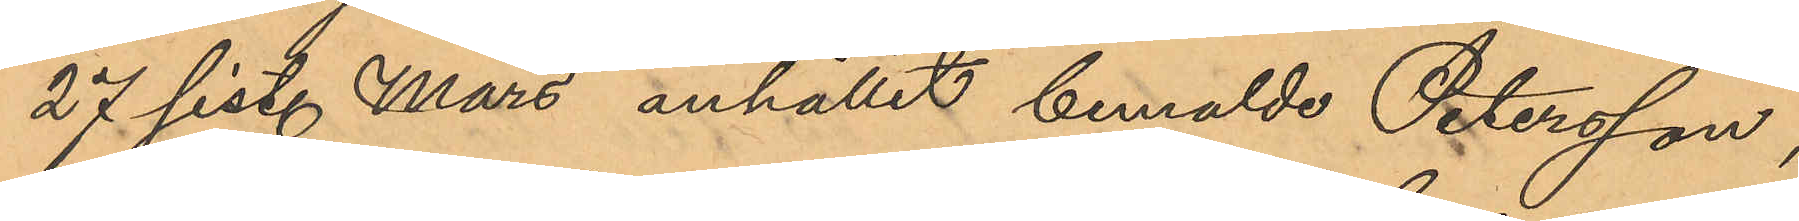27 sist. Mars anhållit bemälde Petersson,
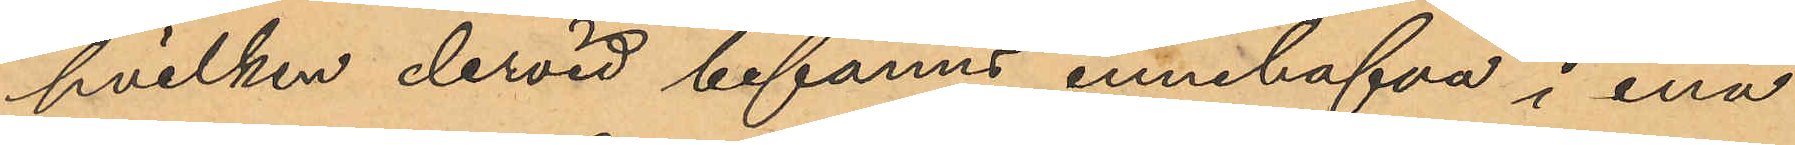hvilken dervid befanns innehafva i ena
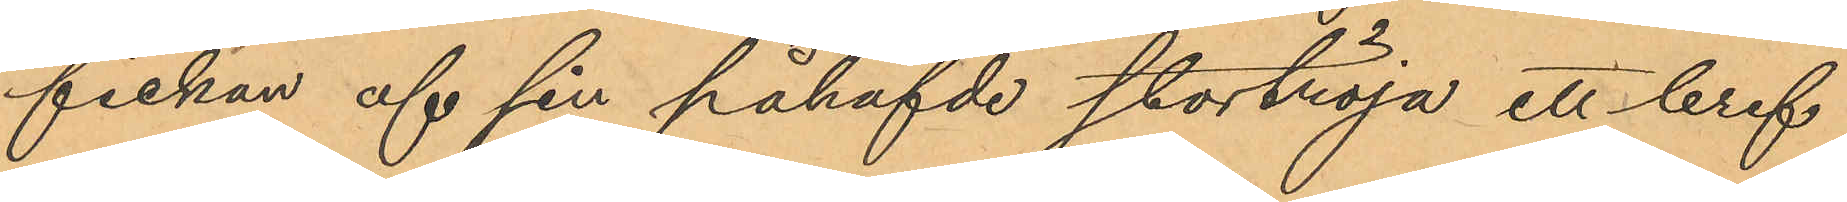fickan af sin påhafvde stortröja ett bref
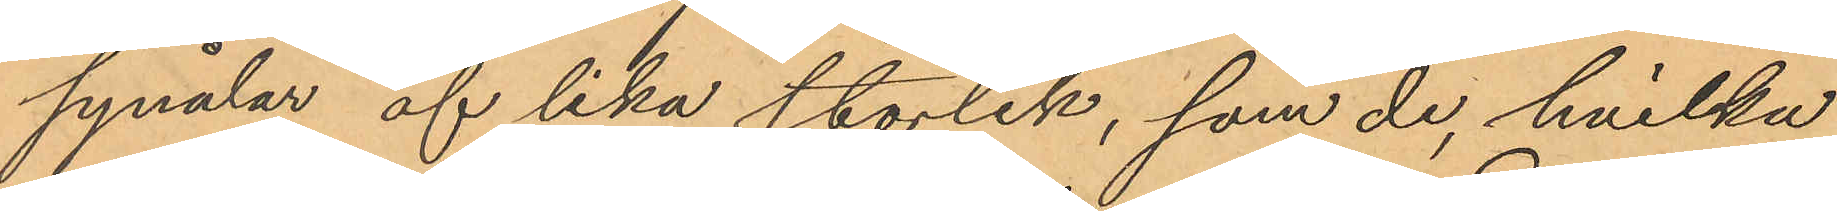synålar af lika storlek, som de, hvilka
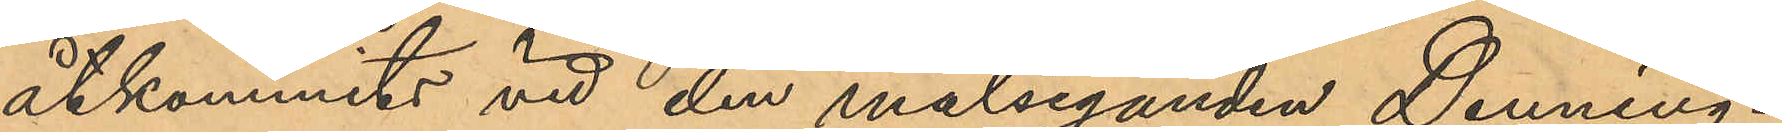åtkommits vid den målseganden Denning¬
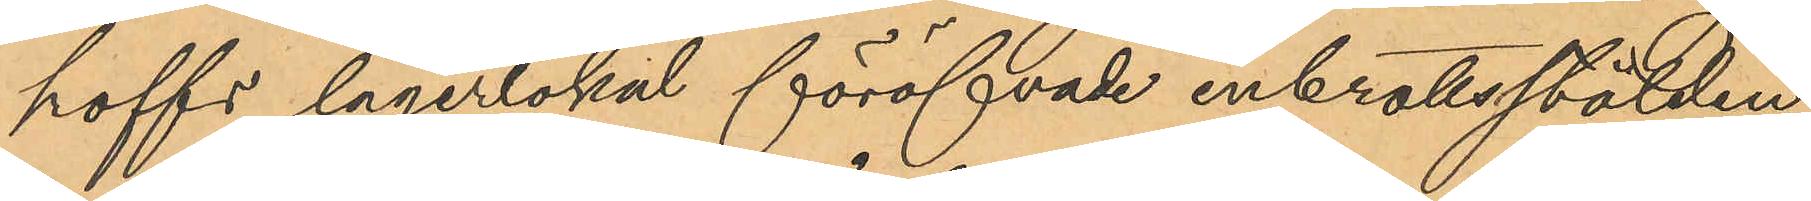hoffs lagerlokal föröfvade inbrottsstölden.
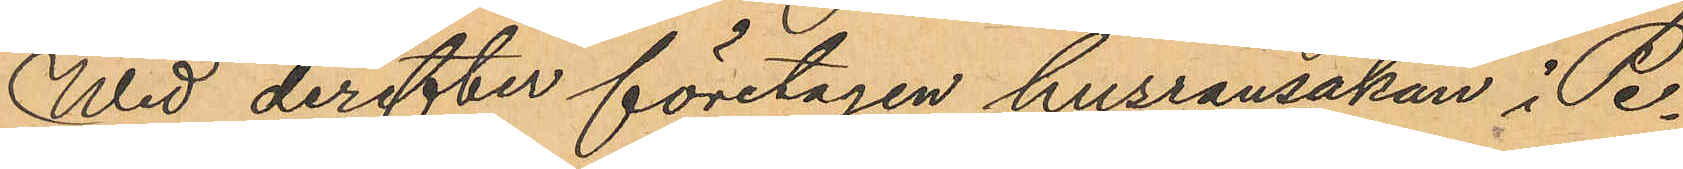Wid derefter företagen husransakan i Pe¬
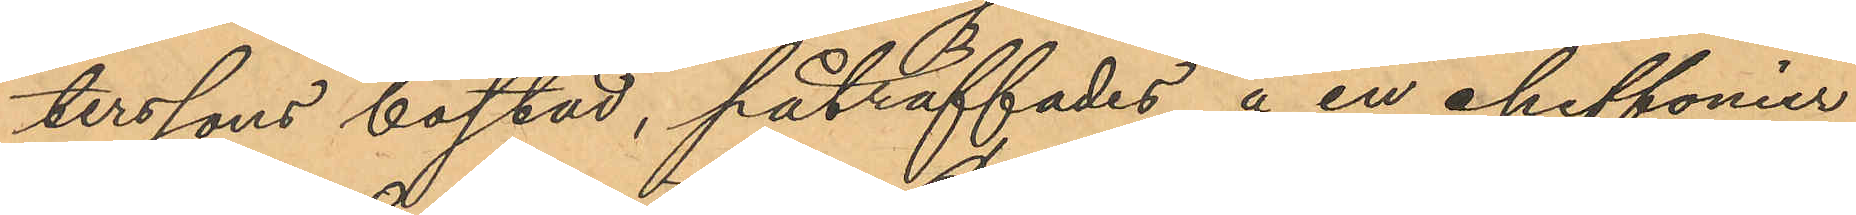terssons bostad, påträffades å en chiffonier
